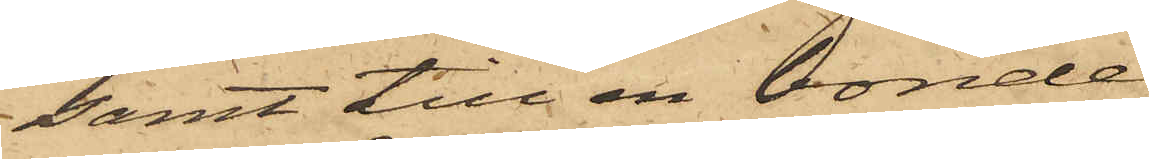samt till en bonde
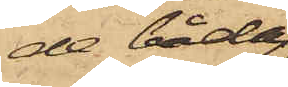de båda
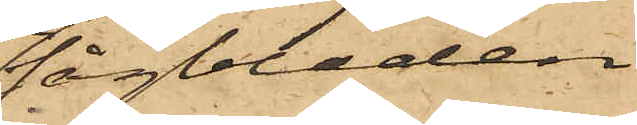sågbladen
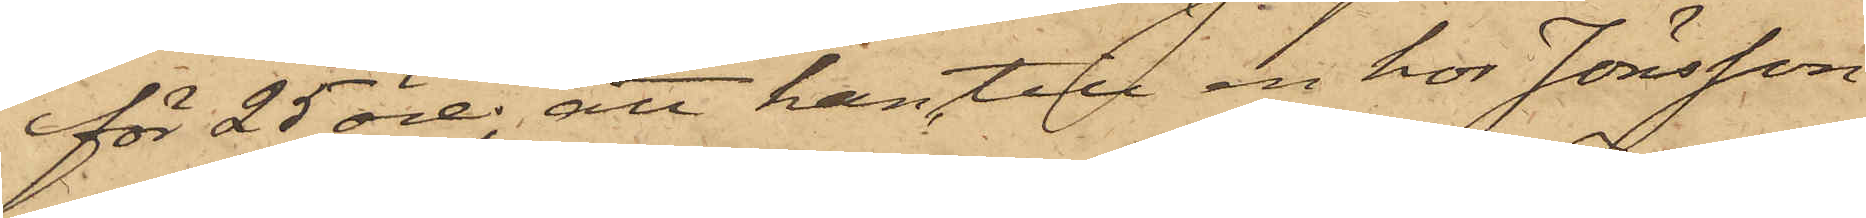för 25 öre, att han till en hos Jönsson
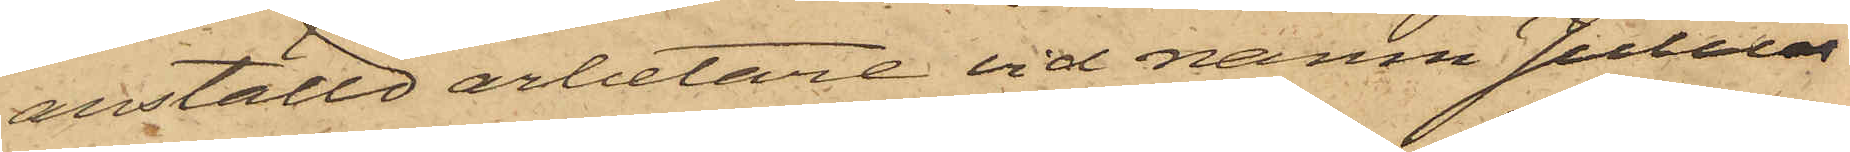anställd arbetare vid namn Julius
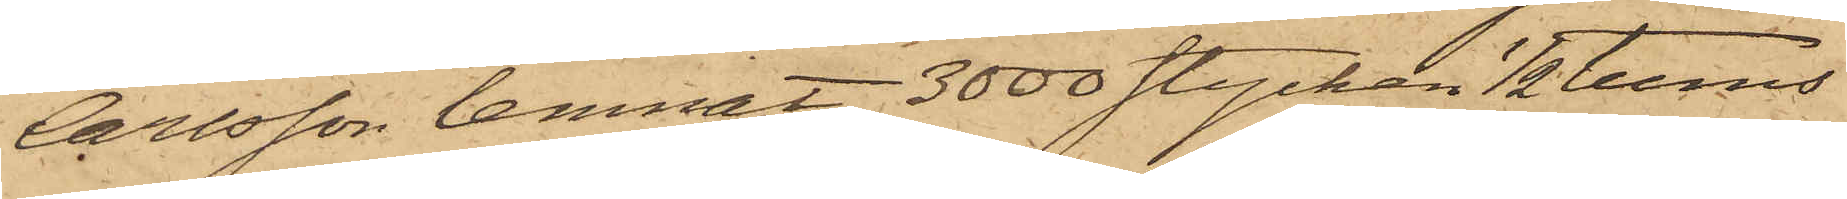Carlsson lemnat 3000 stycken 1/2 tums
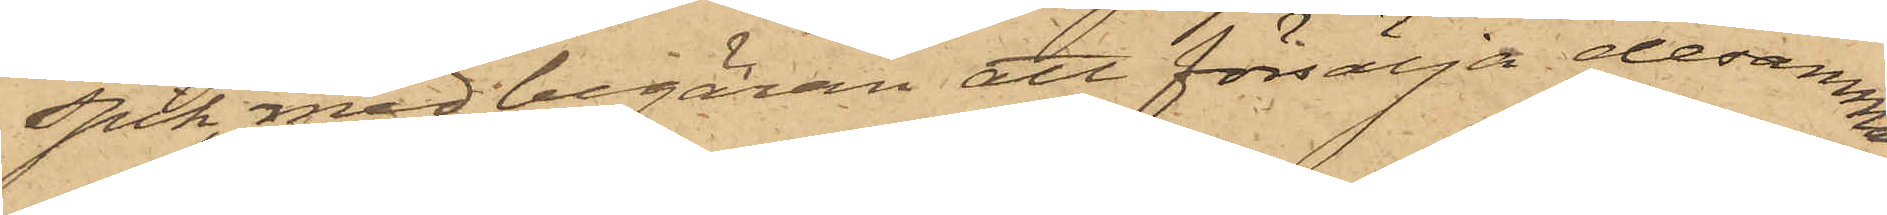spik, med begäran att försälja desamma,
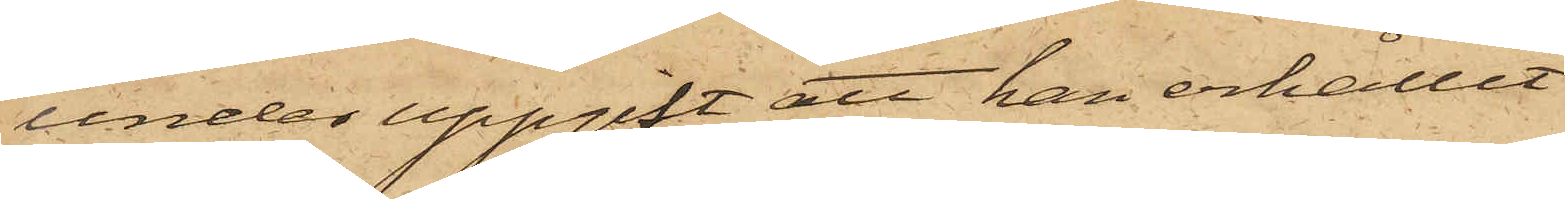under uppgift att han erhållit
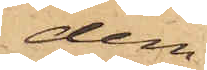dem
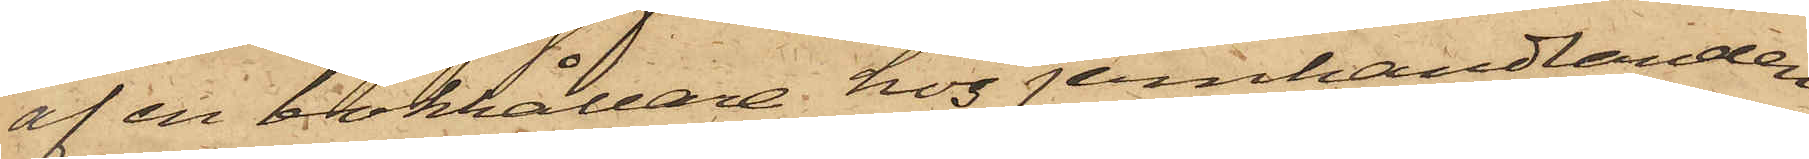af en bokhållare hos jernhandlanden
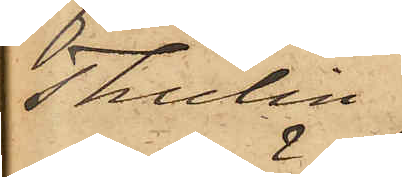Thulin
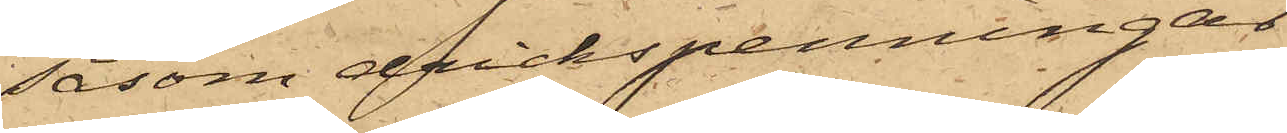såsom f drickspenningar
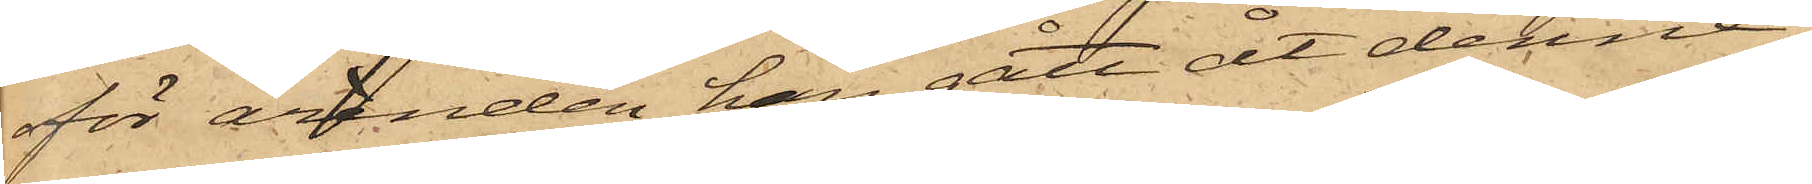för ärenden han gått åt denne;
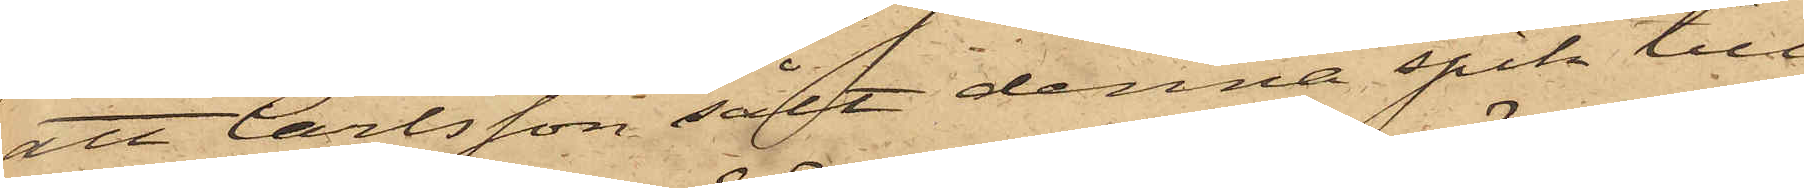att Carlsson sålt denna spik till
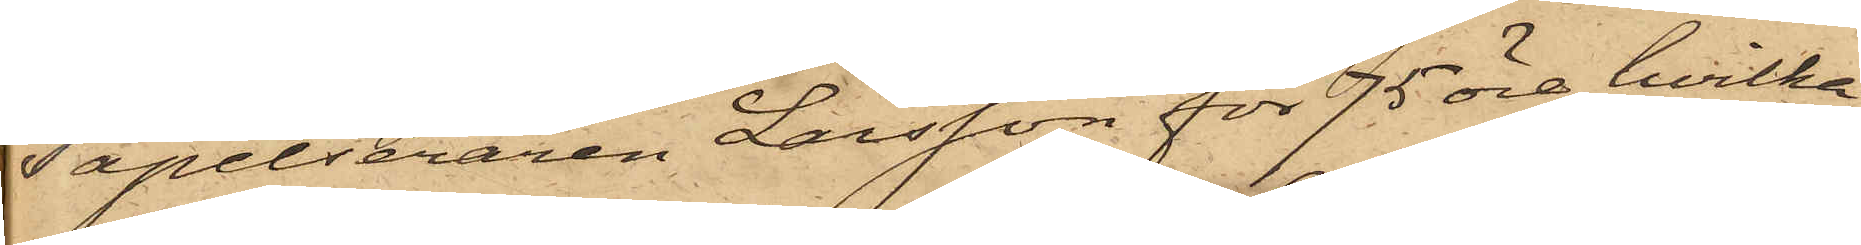Tapetseraren Larsson för 75 öre, hvilka
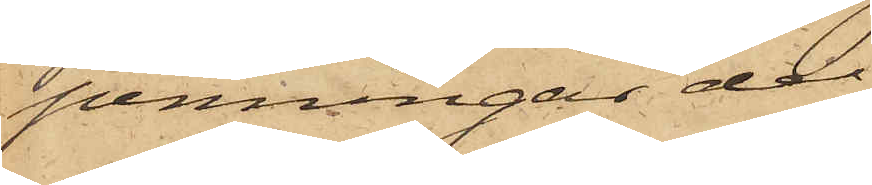penningar de
